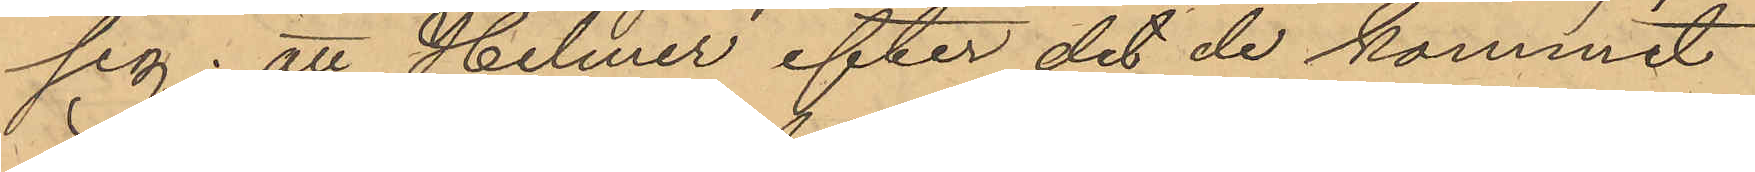sig; att Hilmer efter det de kommit
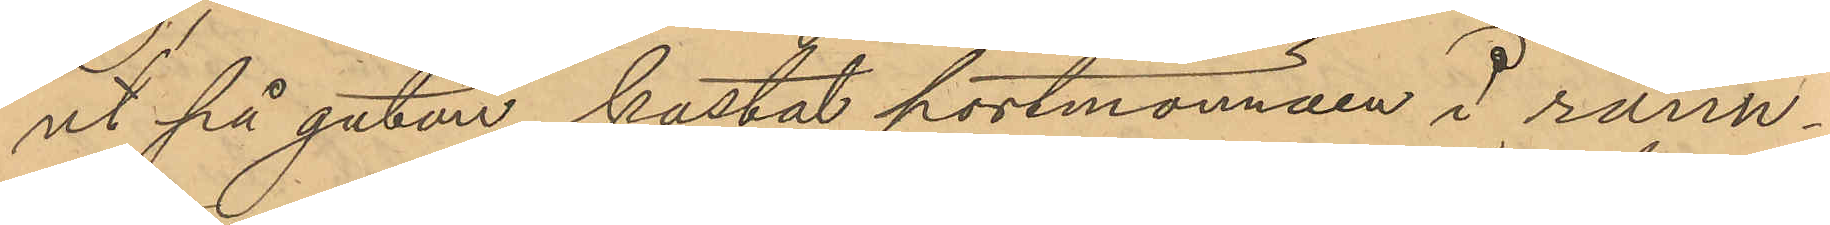ut på gatan kastat portmonnäen i ränn¬
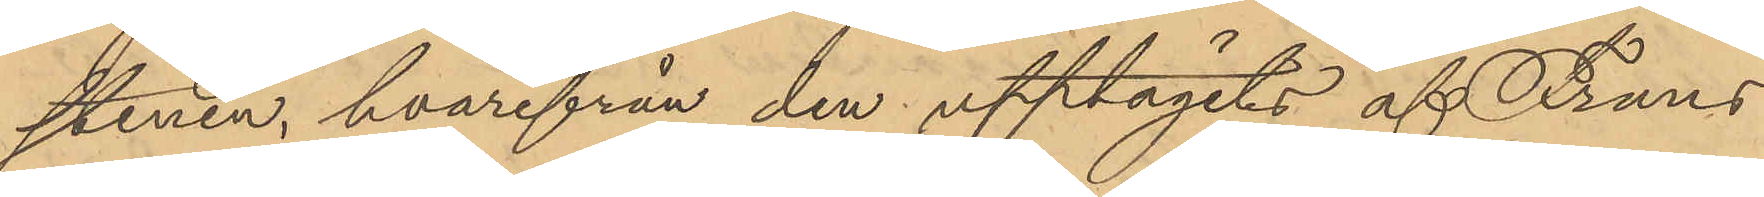stenen, hvarifrån den upptagits af Frans
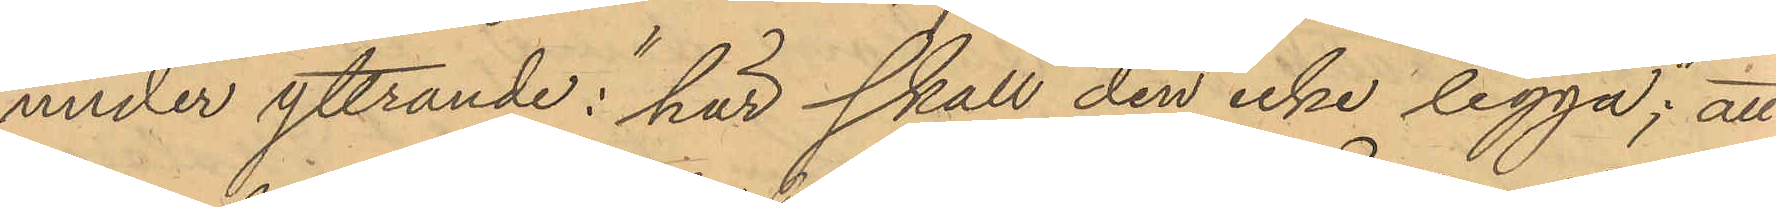under yttrande i "här skall den icke ligga; att
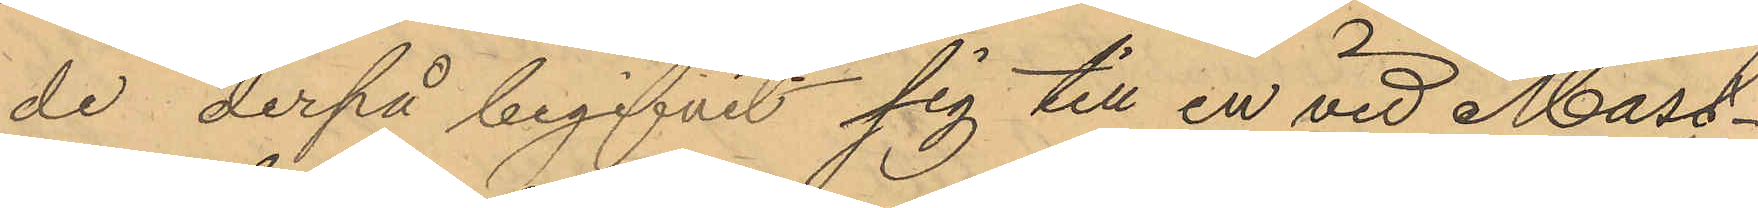de derpå begifvit sig till en vid Mast¬
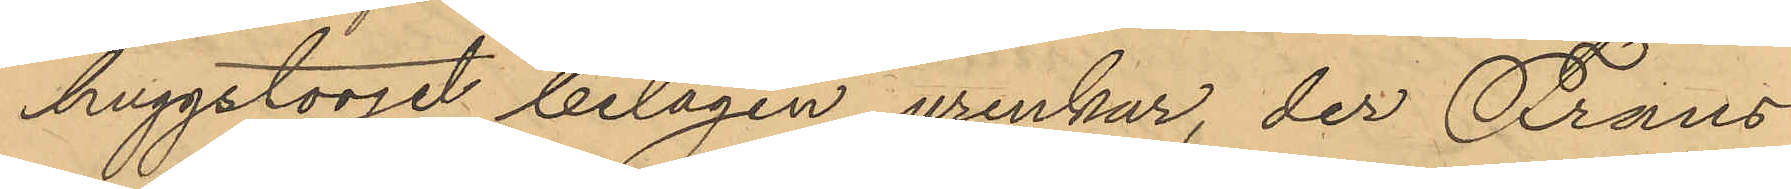huggstorget belägen urinkar, der Frans
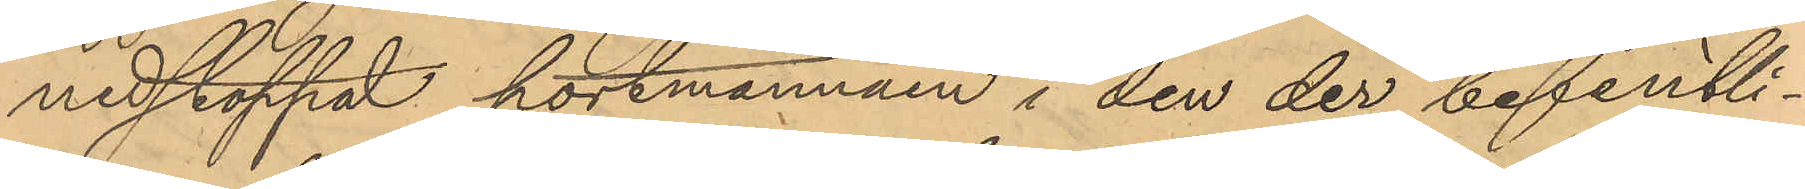nedstoppat portmonnäen i den der befintli¬
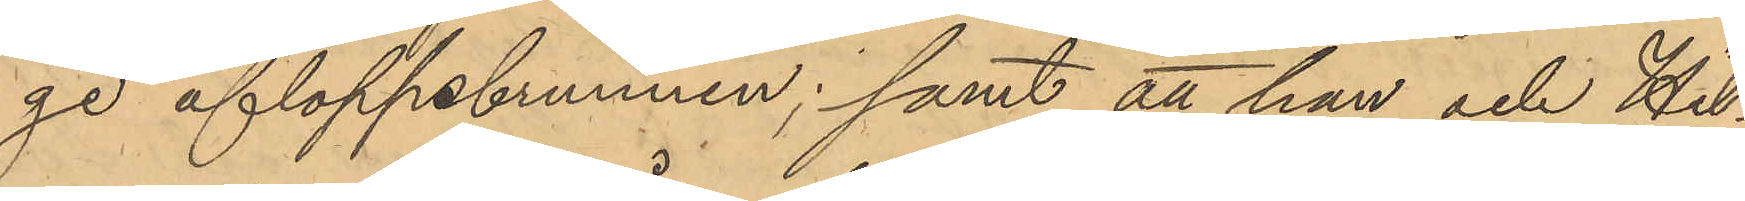ge afloppsbrunnen; samt att han och Hil¬
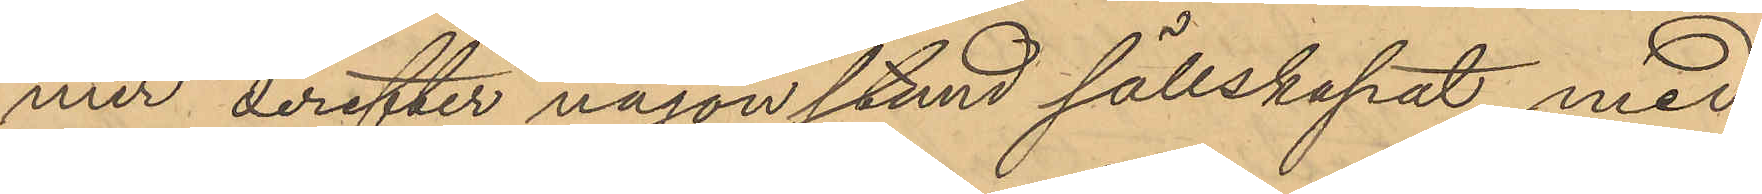mer derefter någon stund sällskapat med
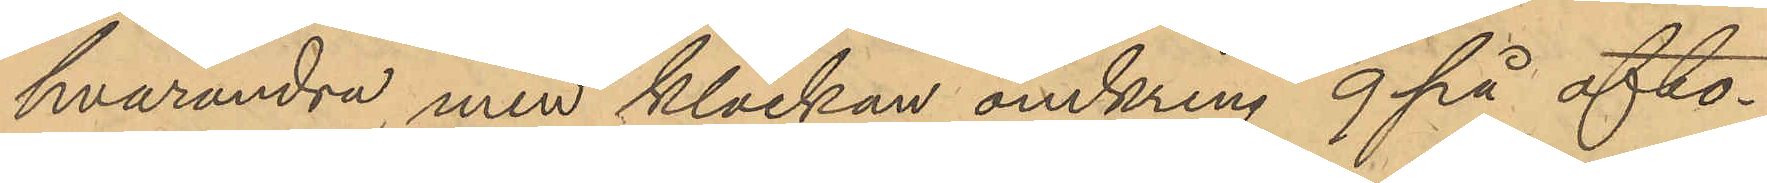hvarandra men klockan omkring 9 på afto¬
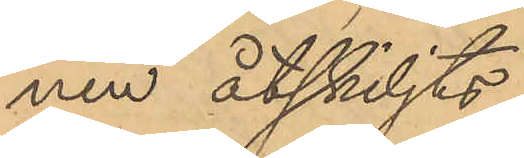nen åtskiljts.
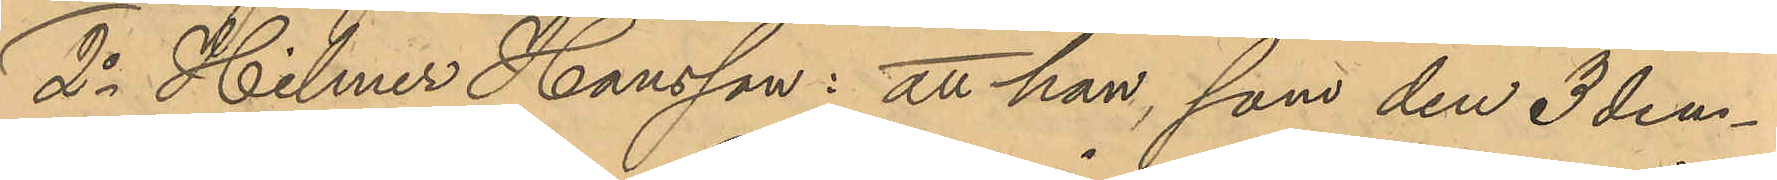2o Hilmer Hansson: att han, som den 3 den¬
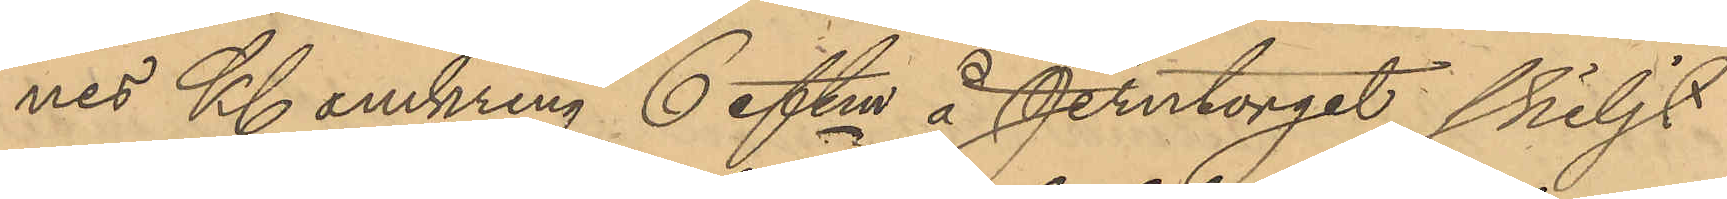nes Kl omkring 6 eftm å Jerntorget skiljt
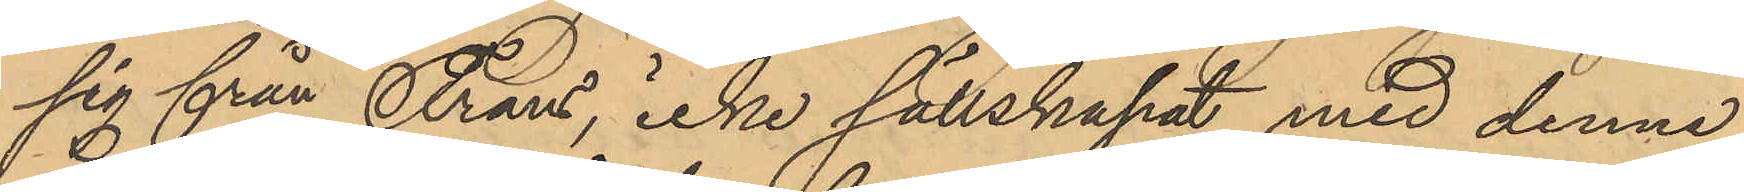sig från Frans, icke sällskapat med denne
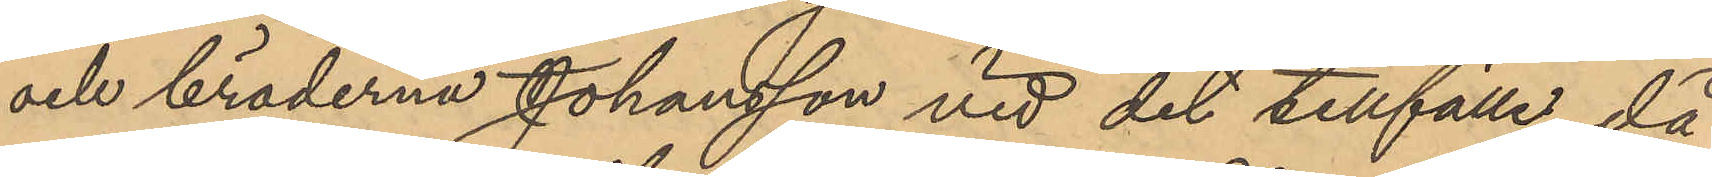och bröderna Johansson vid det tillfälle då
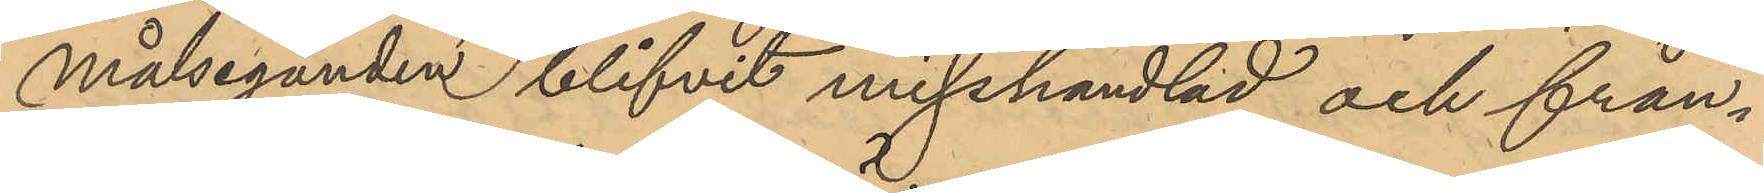målseganden blifvit misshandlad och från¬
